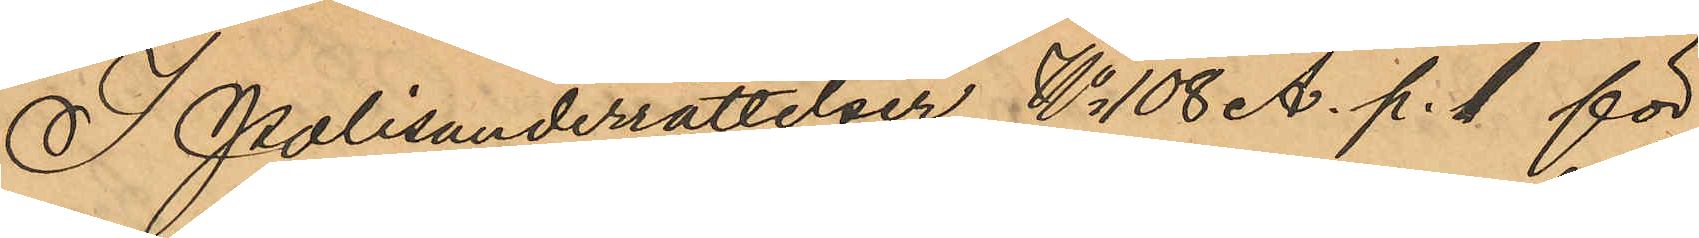I Polisunderrättelser No 108 A. p. 1 för
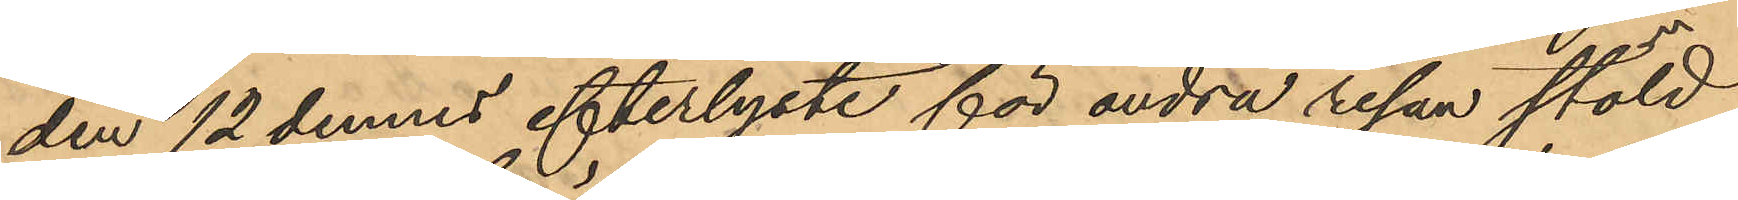den 12 dennes efterlyste för andra resan stöld
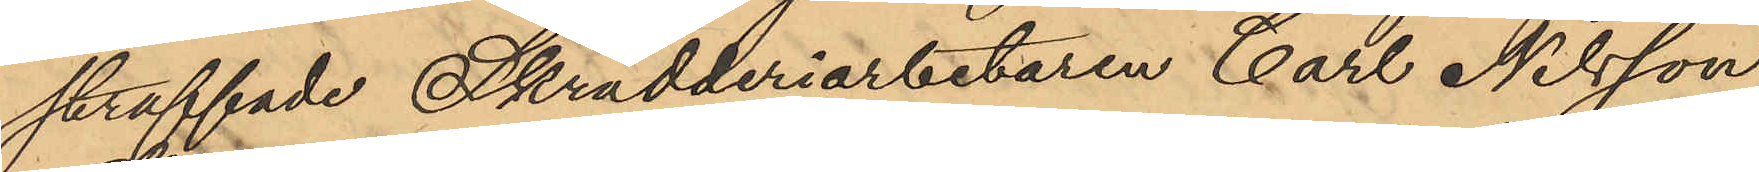straffade Skrädderiarbetaren Carl Nilsson
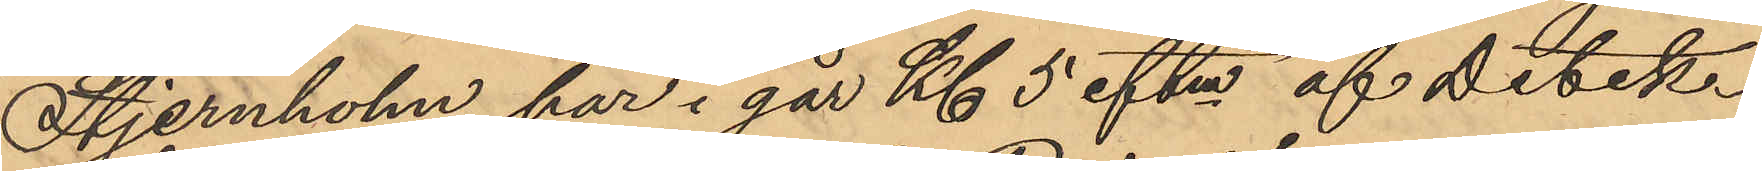Stjernholm har i går Kl 5 eftm af Detek¬
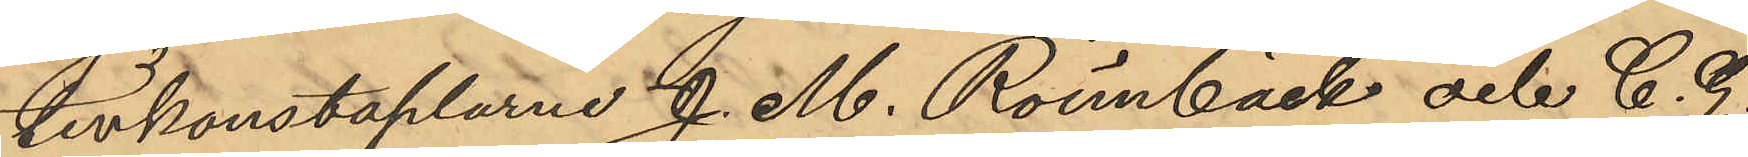tivkonstaplarne J. M. Rönnbäck och C. G.
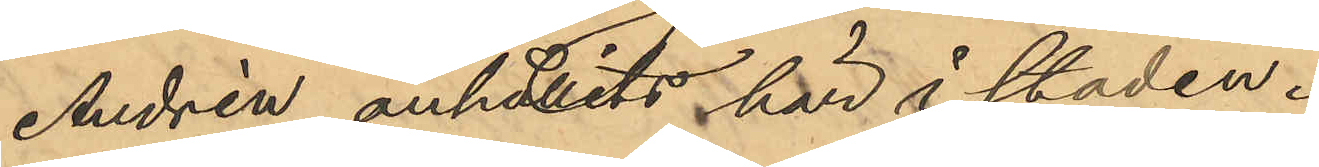Andrén anhållits här i staden.
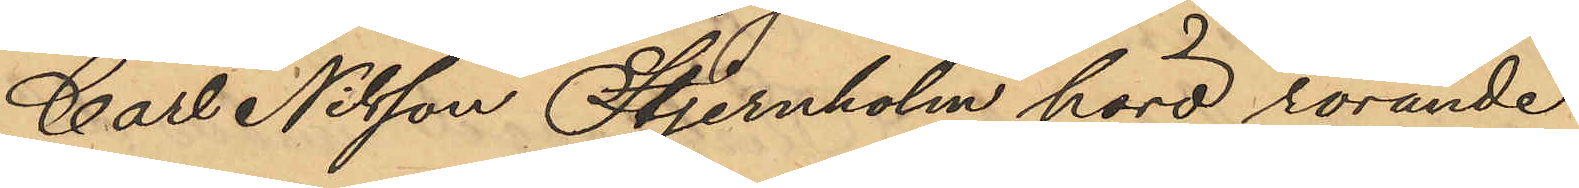Carl Nilsson Stjernholm hörd rörande
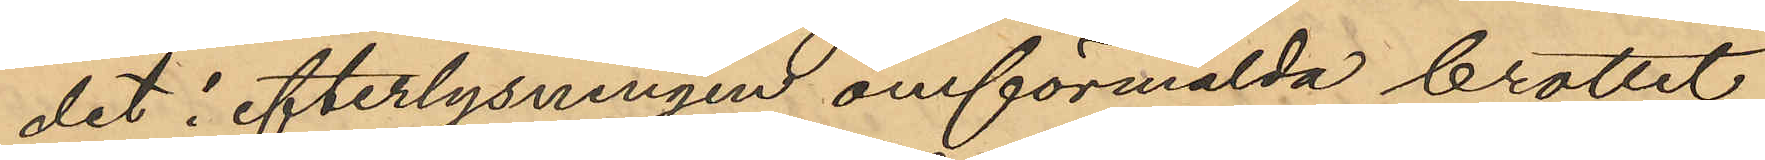det i efterlysningen omförmälda brottet
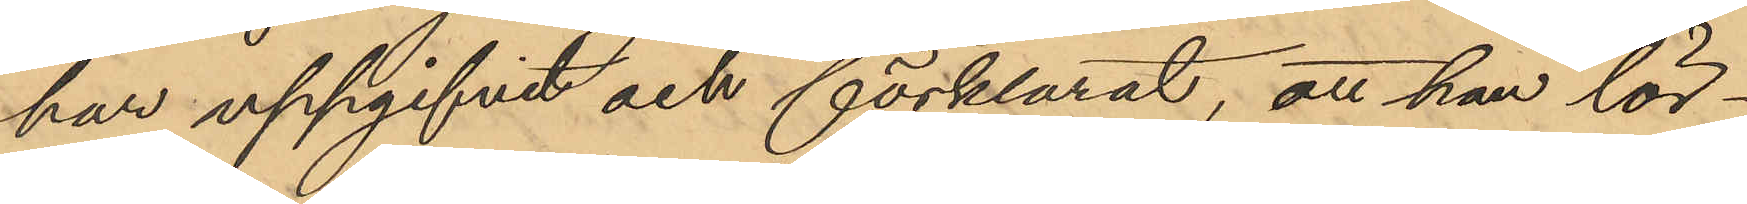har uppgifvit och förklarat, att han lör¬
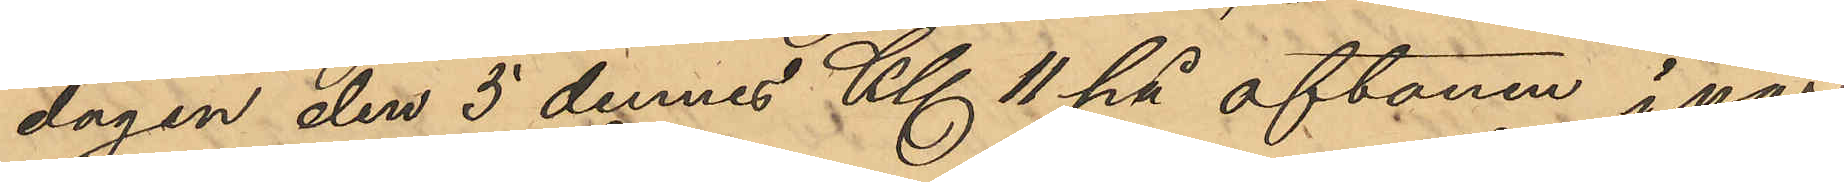dagen den 5 dennes Kl 11 på aftonen i när¬
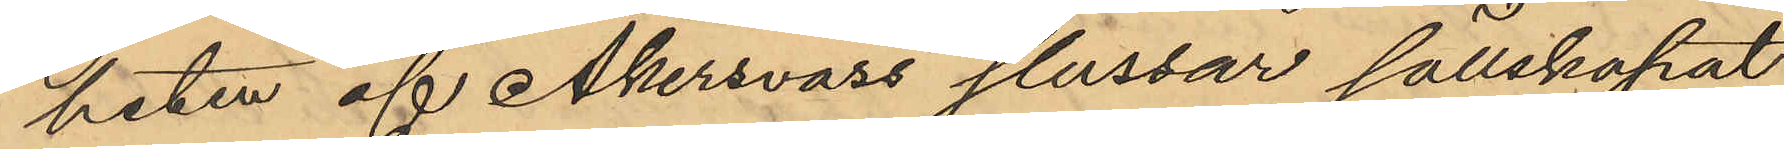heten af Åkersvass slussar sällskapat
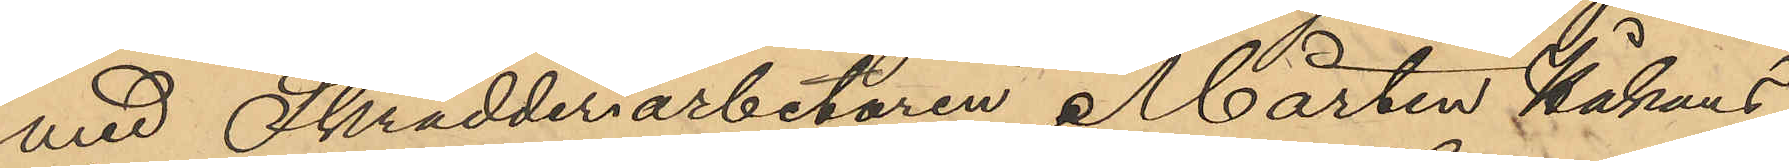med Skrädderiarbetaren Mårten Håkans-
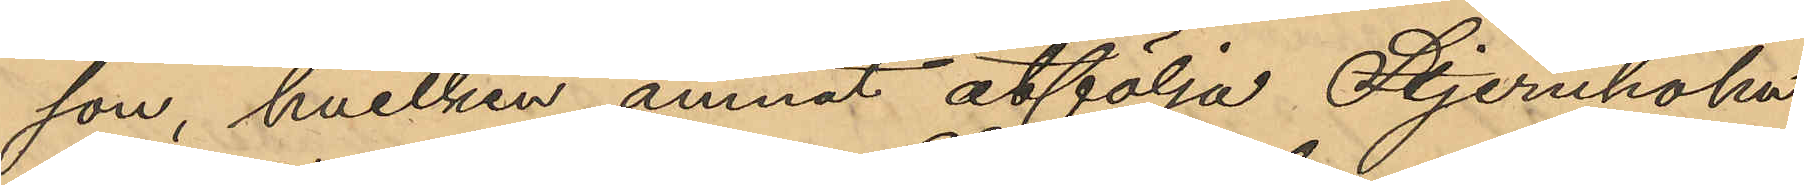son, hvilken ämnat åtfölja Stjernholm
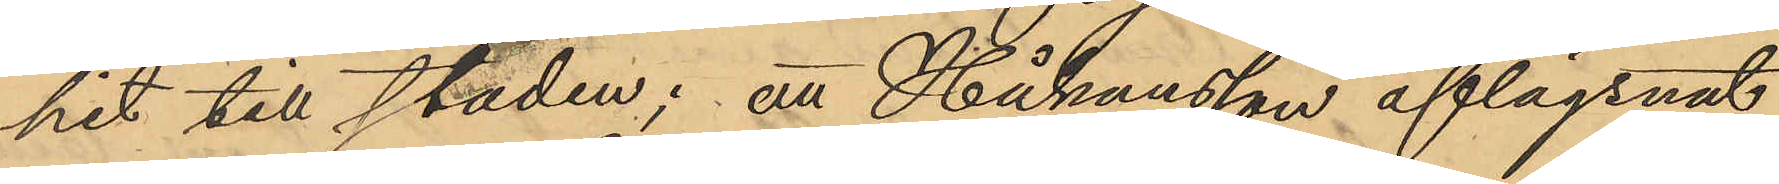hit till staden; att Håkansson aflägsnat
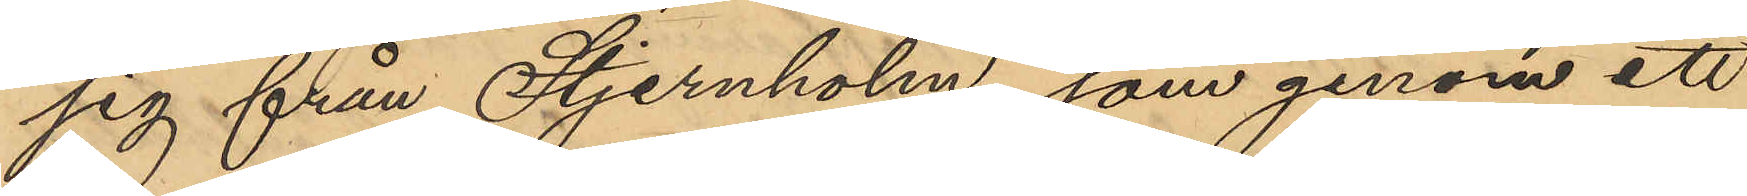sig från Stjernholm, som genom ett
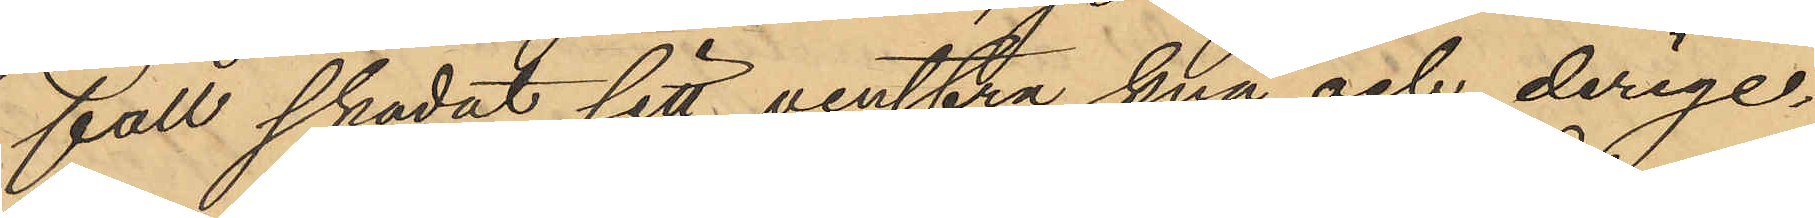fall skadat sitt venstra knä och derige¬
